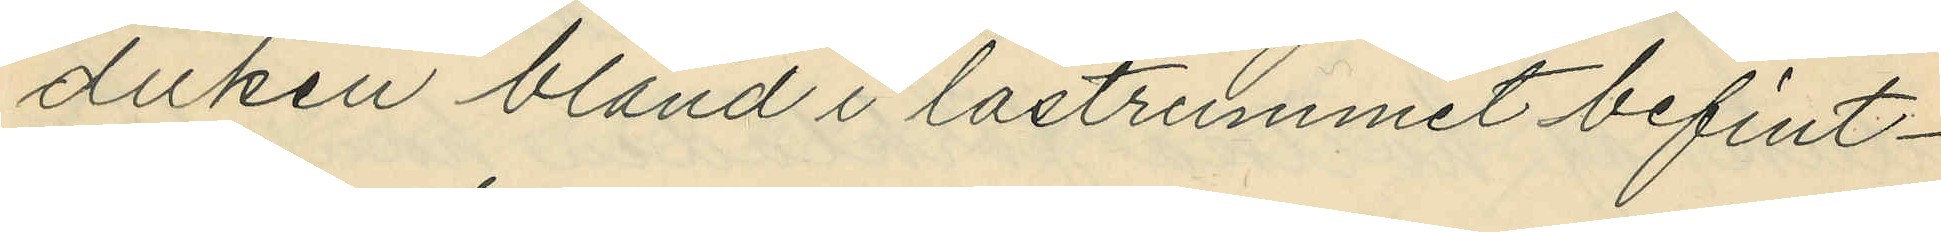duken bland i lastrummet befint¬
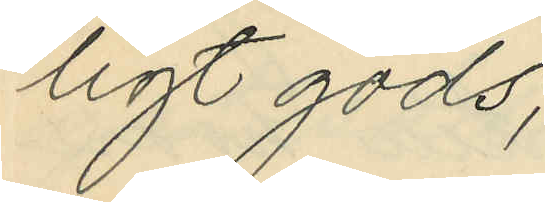ligt gods;
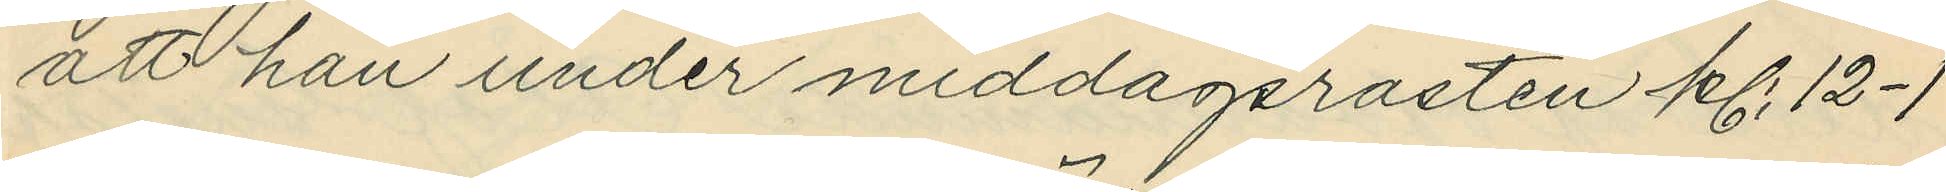att han under middagsrasten kl. 12-1
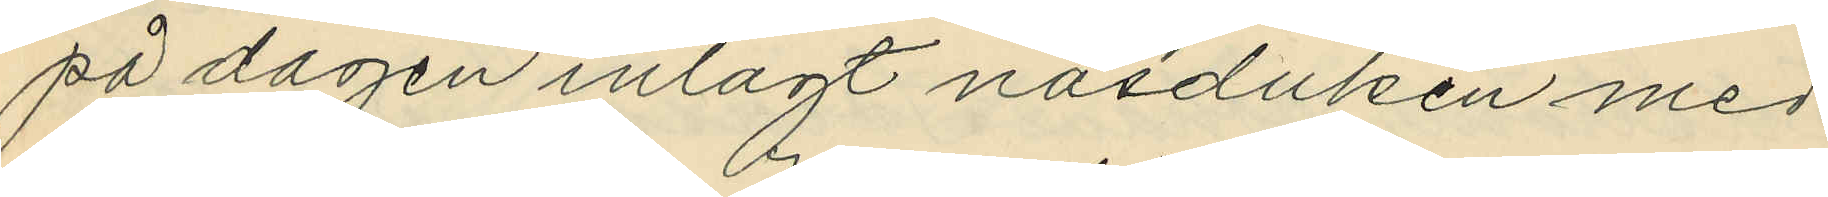på dagen inlagt näsduken med
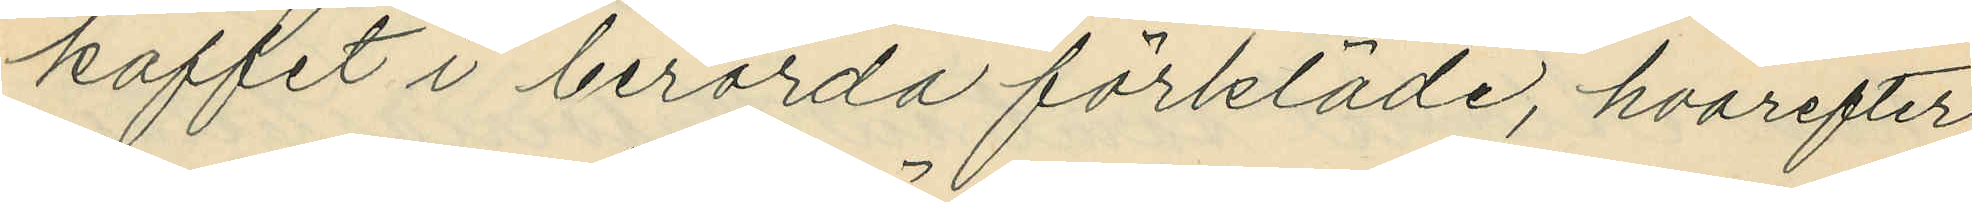kaffet i berörda förkläde, hvarefter
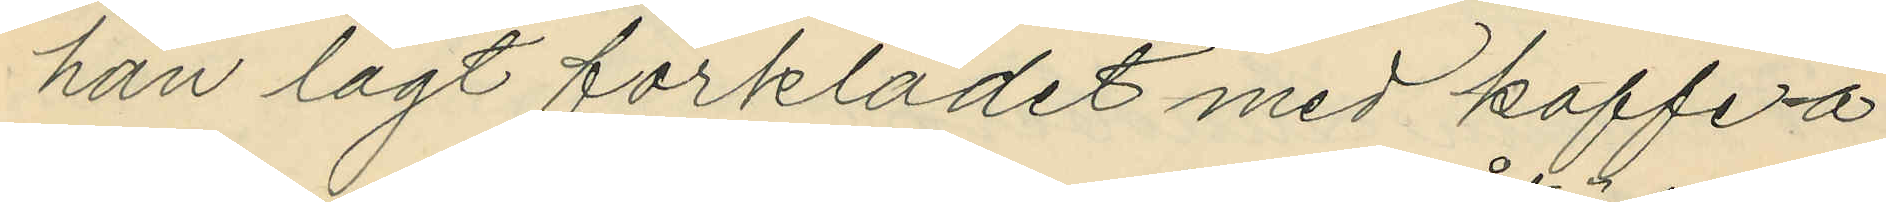han lagt förklädet med kaffe å
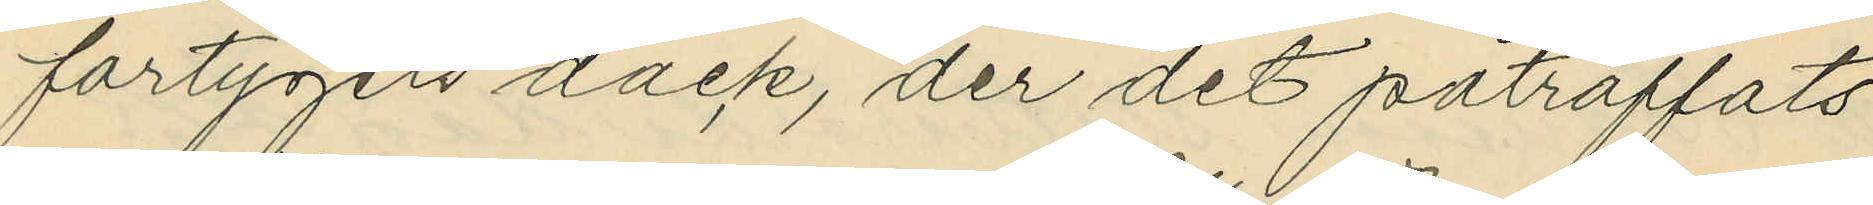fartygets däck, der det påträffats
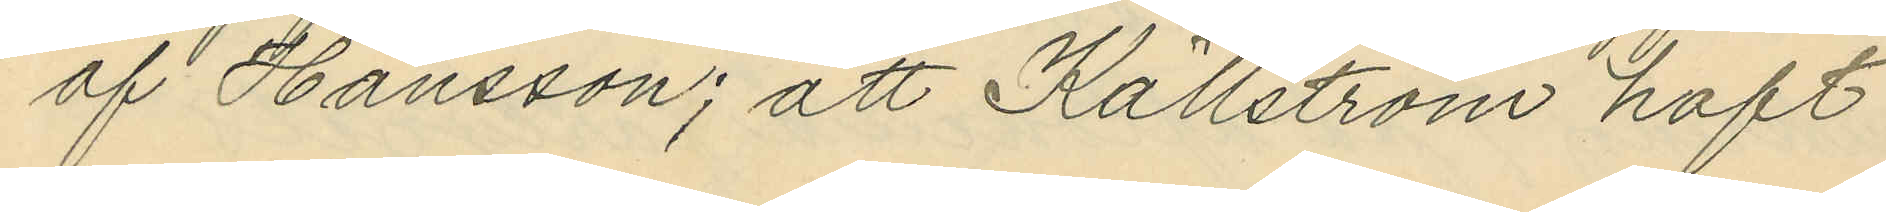af Hansson; att Källström haft
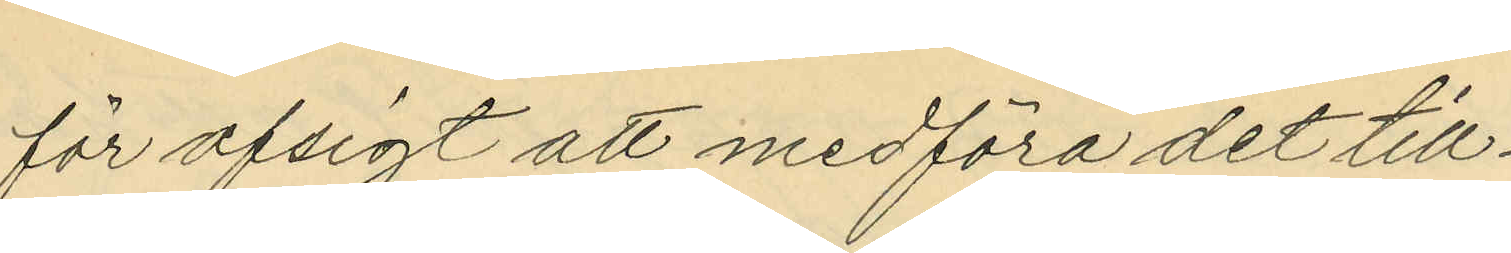för afsigt att medföra det till¬
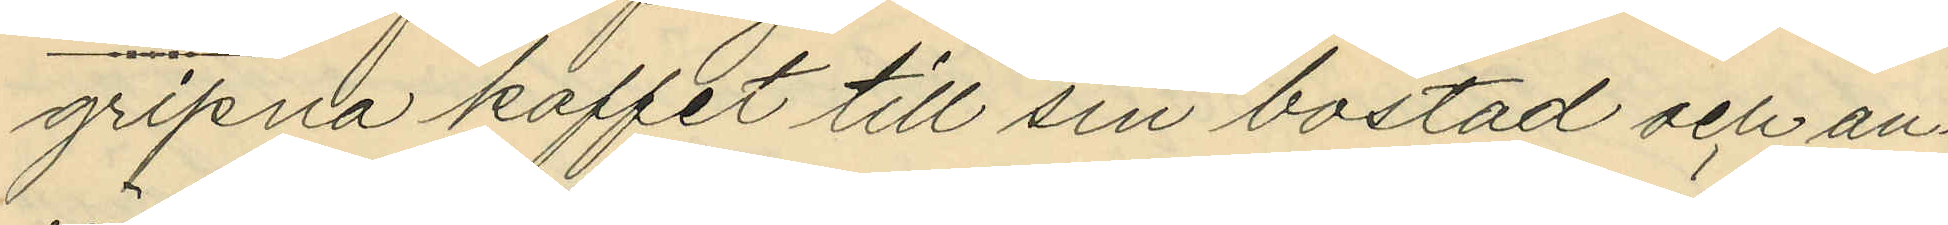gripna kaffet till sin bostad och an¬
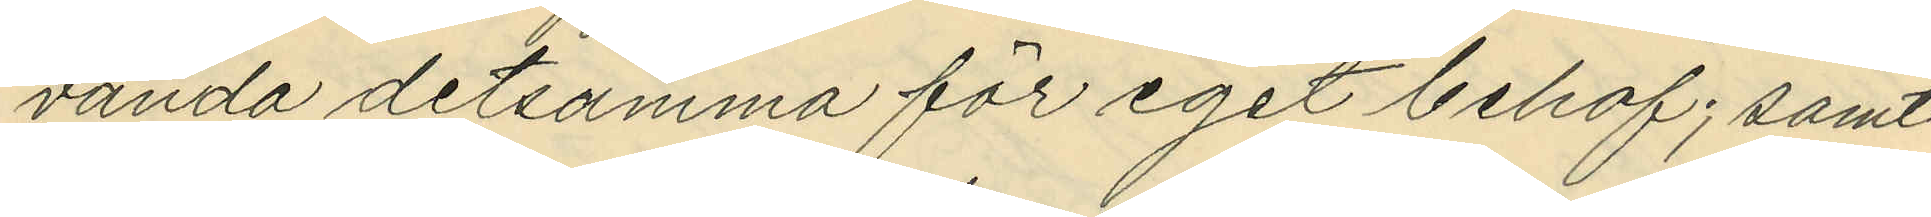vända detsamma för eget behof; samt
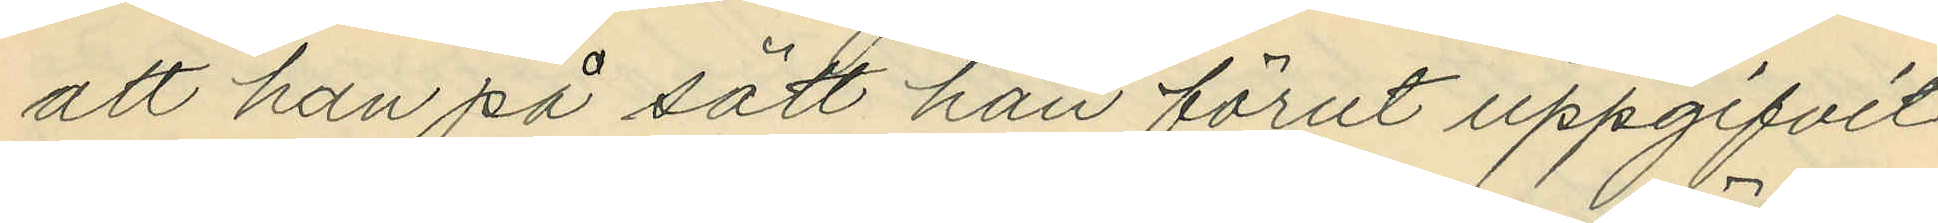att han på sätt han förut uppgifvit
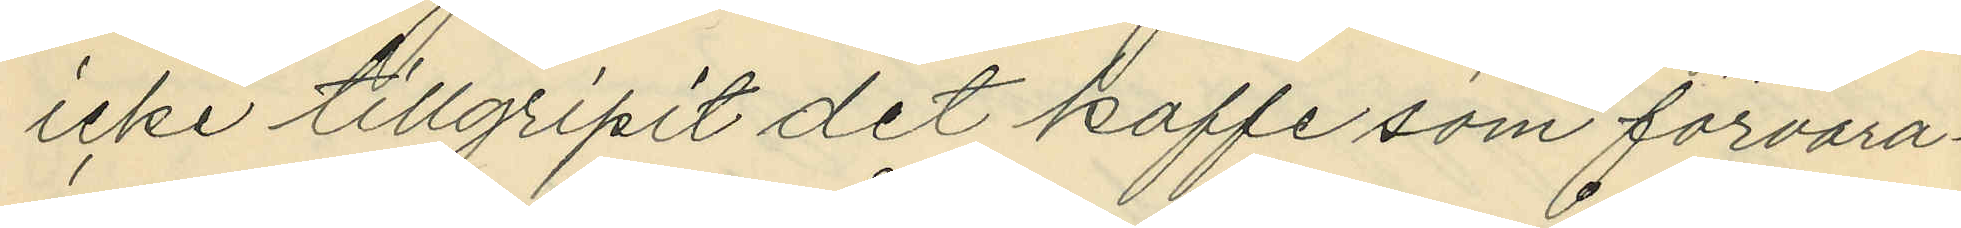icke tillgripit det kaffe som förvara¬
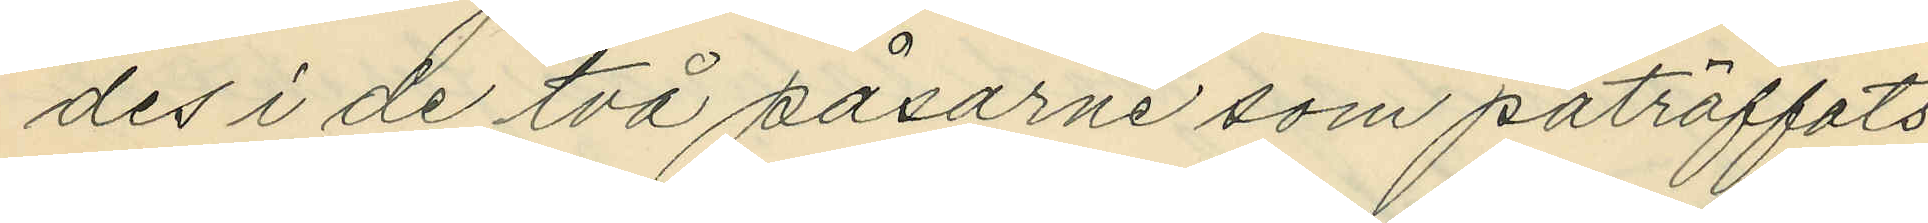des i de två påsarne som påträffats
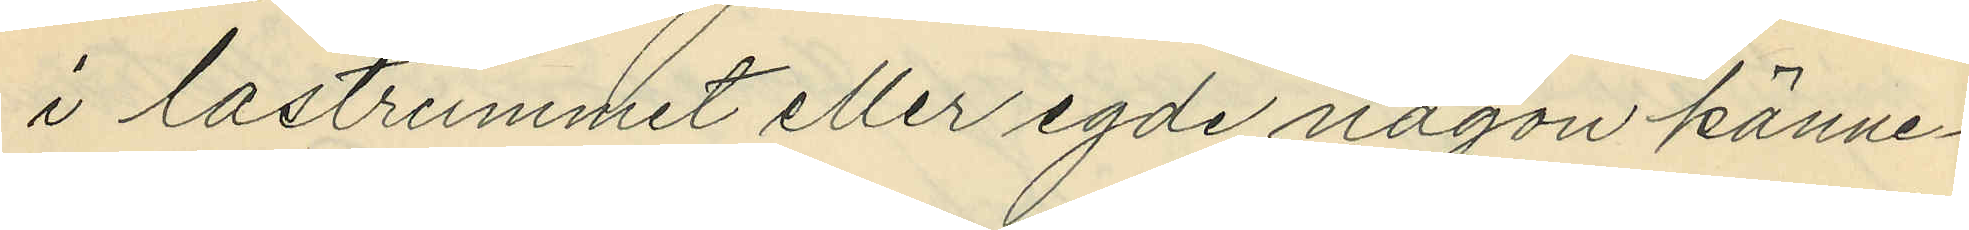i lastrummet eller egde någon känne¬
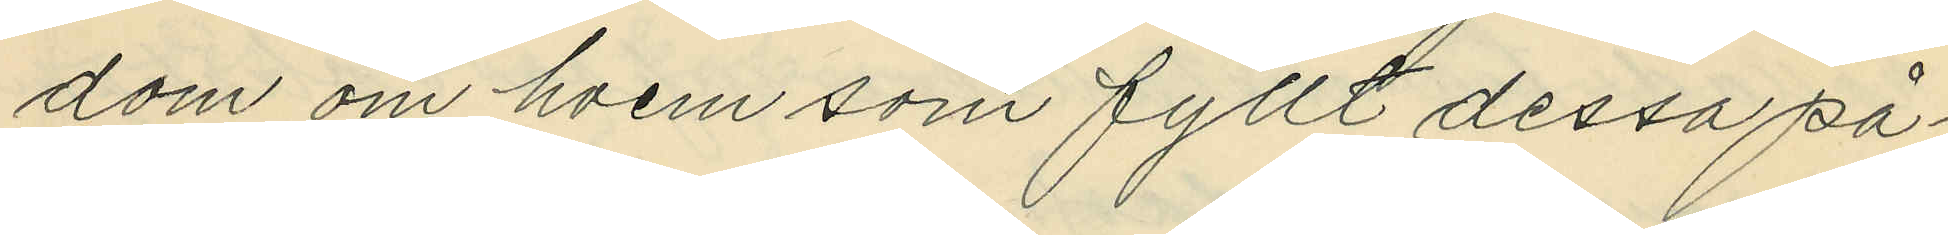dom om hvem som fyllt dessa på¬
